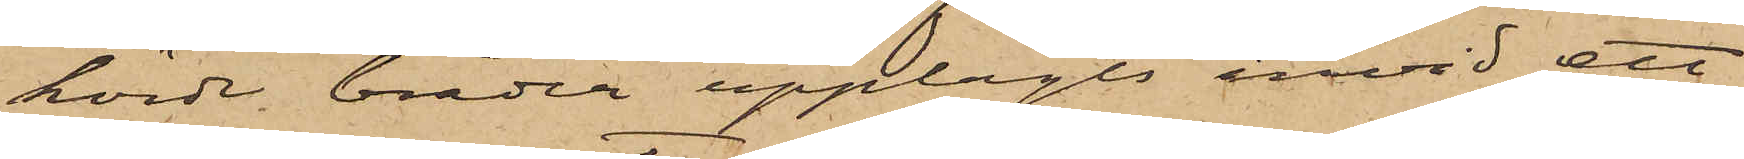körde bräder upplagts invid ett
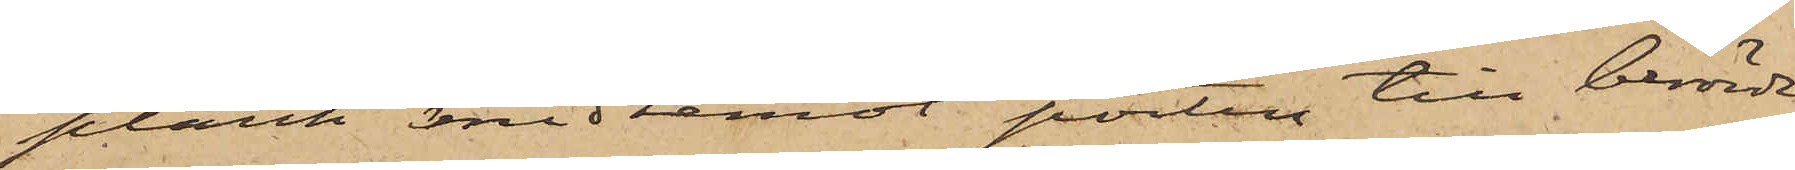plank midtemot porten till berörde
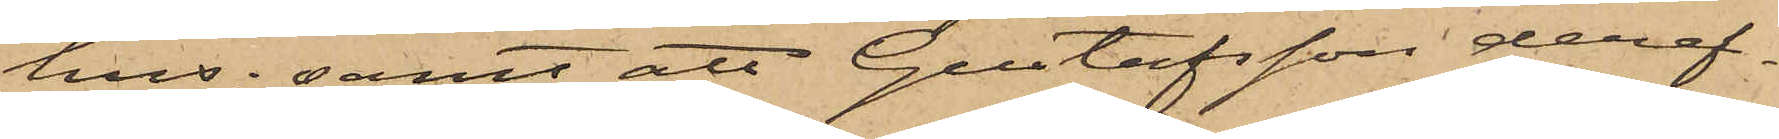hus; samt att Gustafsson deref¬
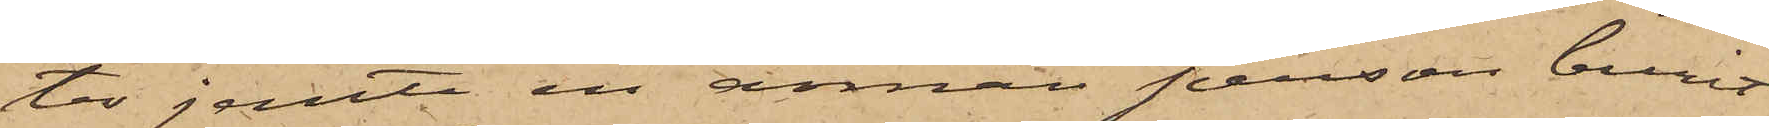ter jemte en annan person burit
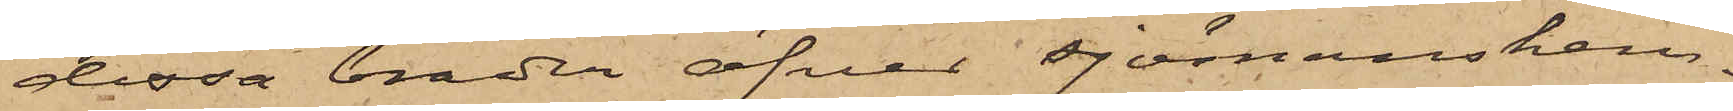dessa bräder öfver sjömanshem¬
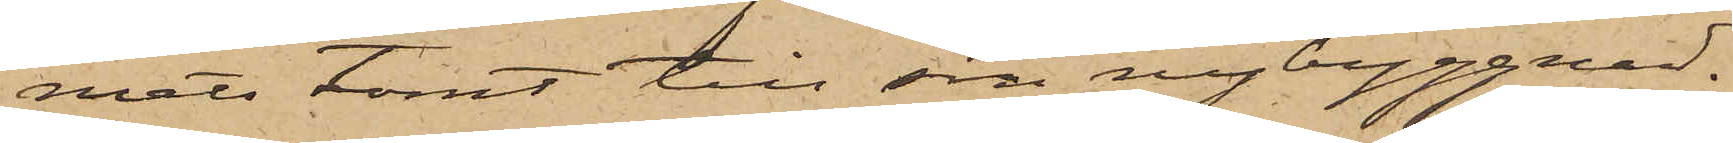mets tomt till sin nybyggnad;
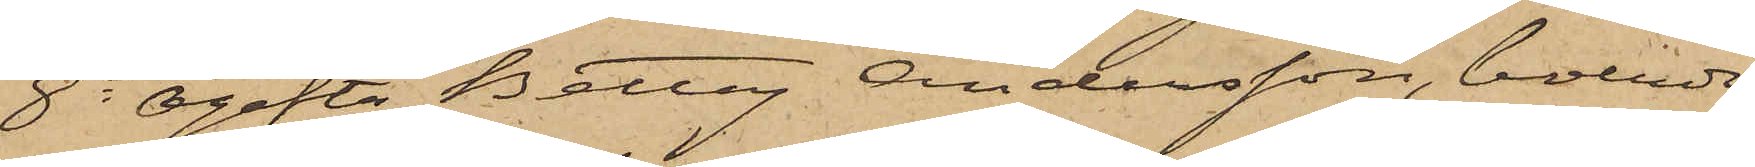8o Ogifta Petter Andersson, boende
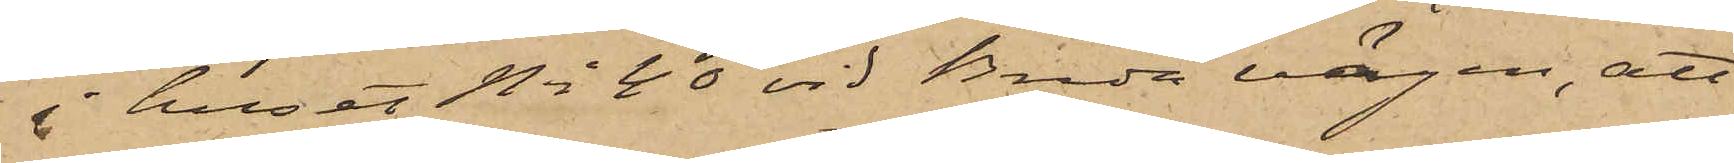i huset No 40 vid Breda vägen, att
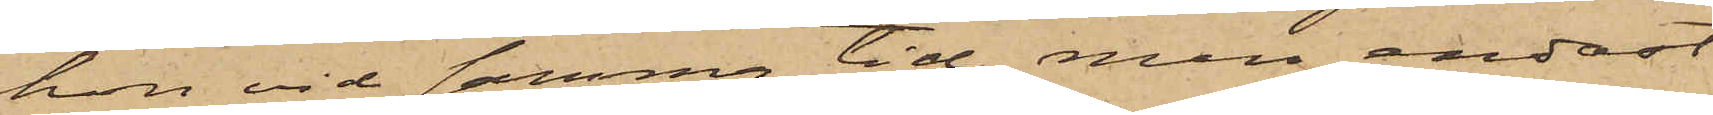hon vid samma tid, men endast
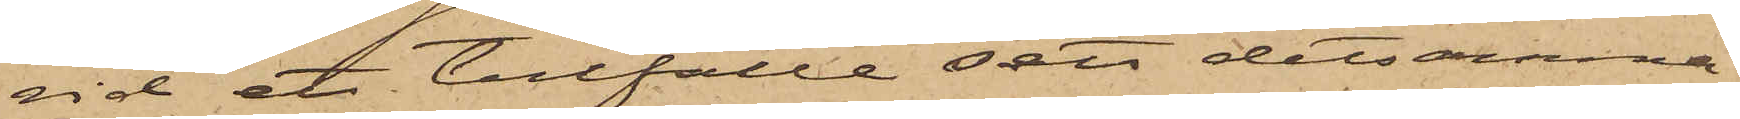vid ett tillfälle sett detsamma
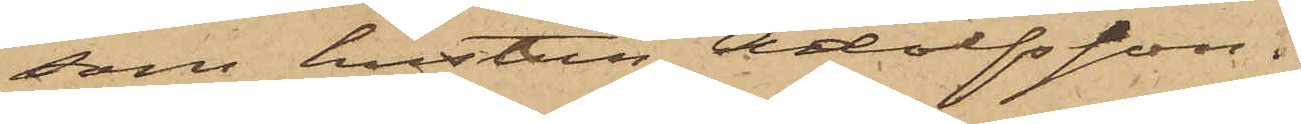som hustru Adolfsson.
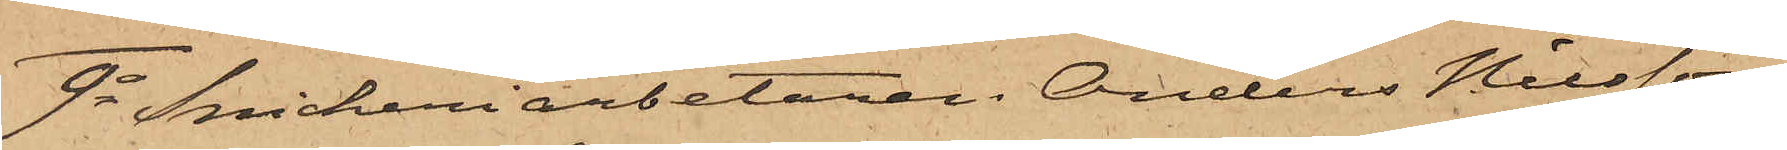9o Snickeriarbetaren Anders Nilsson,
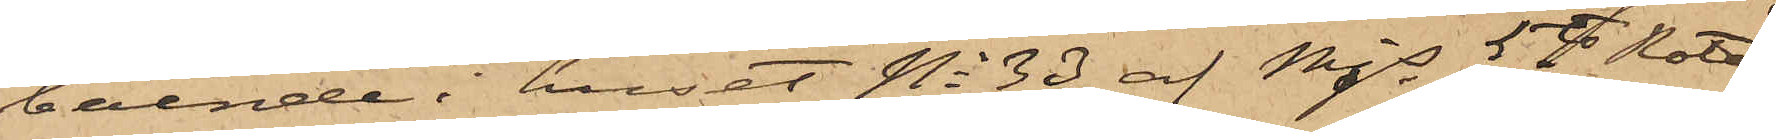boende i huset No 33 af Mjs 5te Rote,
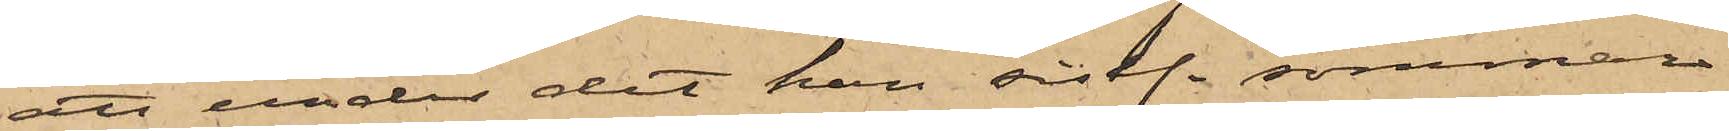att under det han sistl. sommar
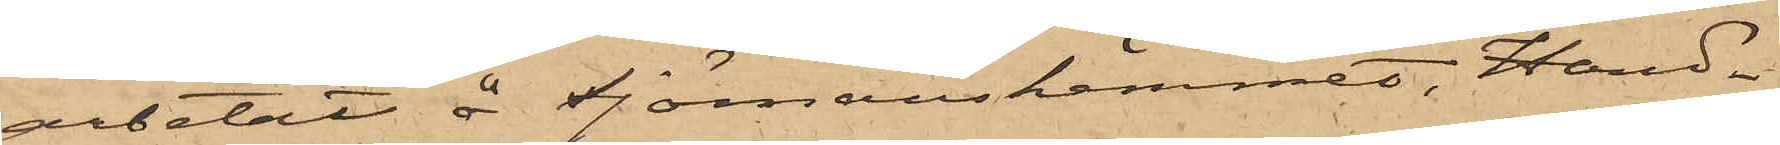arbetat å Sjömanshemmet, Hand¬
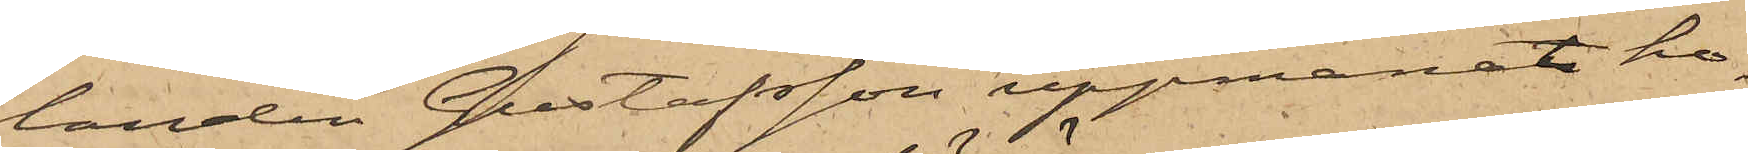landen Gustafsson uppmanat ho¬
